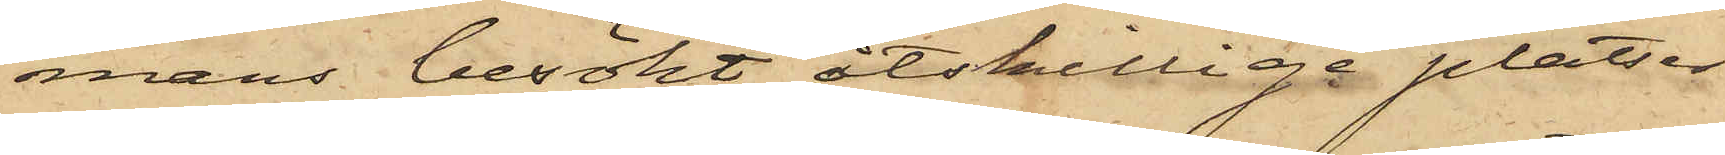mans besökt åtskilliga platser
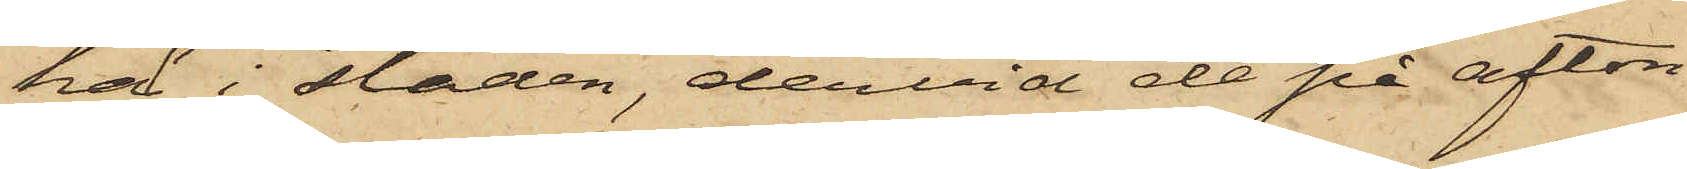här i staden, dervid de på afton
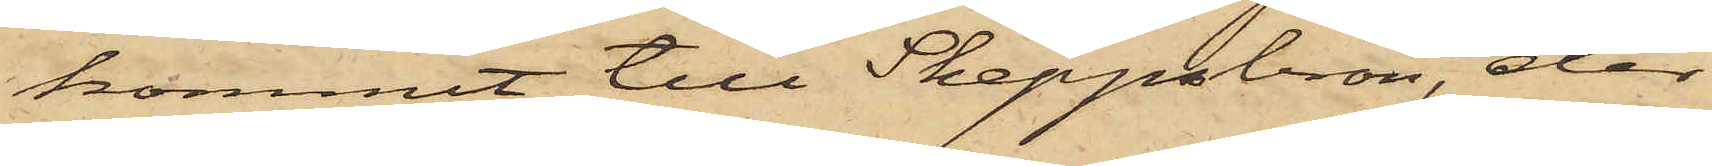kommit till Skeppsbron, der
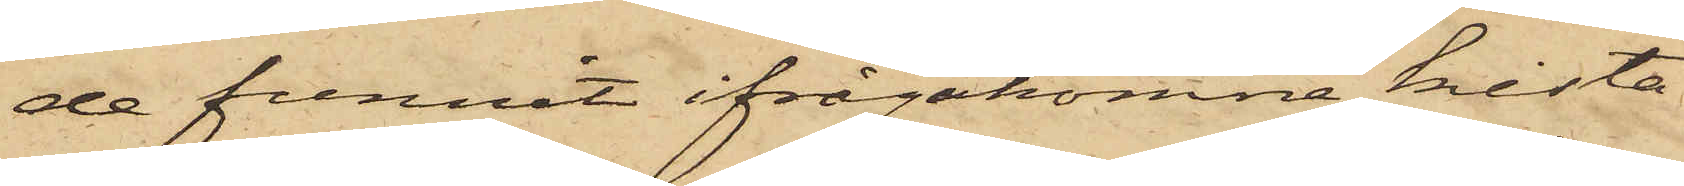de funnit ifrågakomne kista
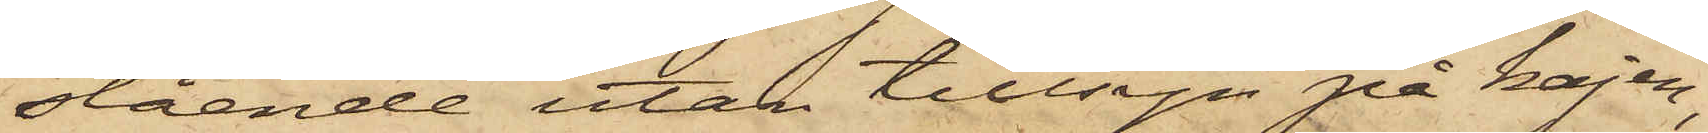stående utan tillsyn på kajen;
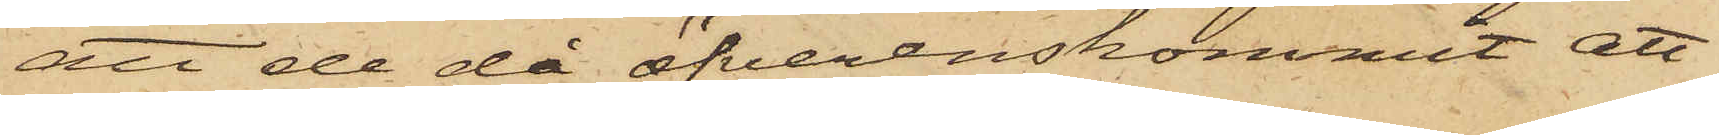att de då öfverenskommit att
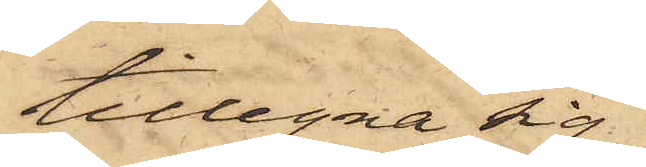tillegna sig
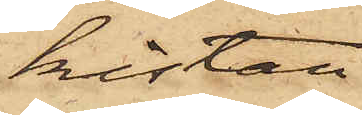kistan
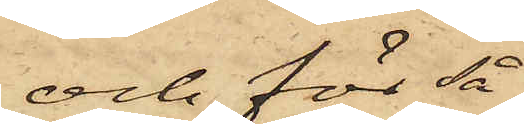och för så¬
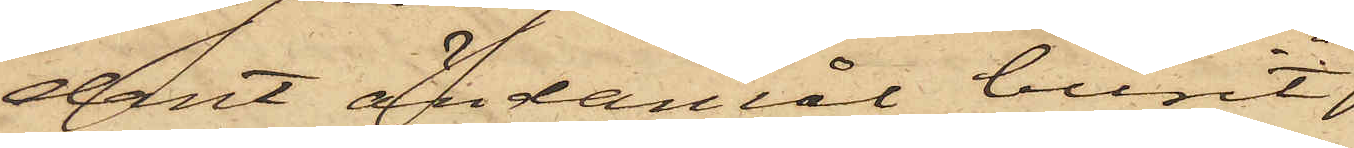dant ändamål burit
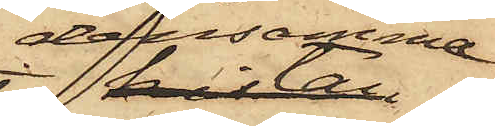densamma
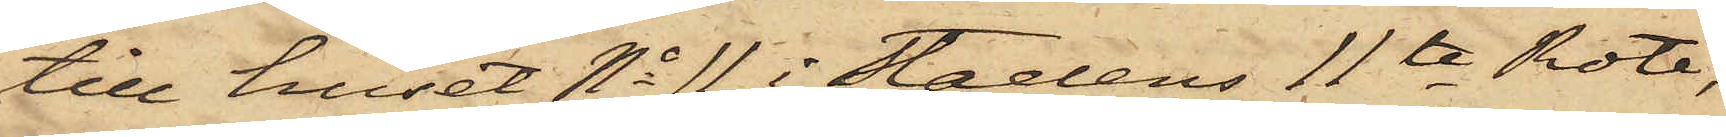till huset No 11 i Stadens 11te Rote,
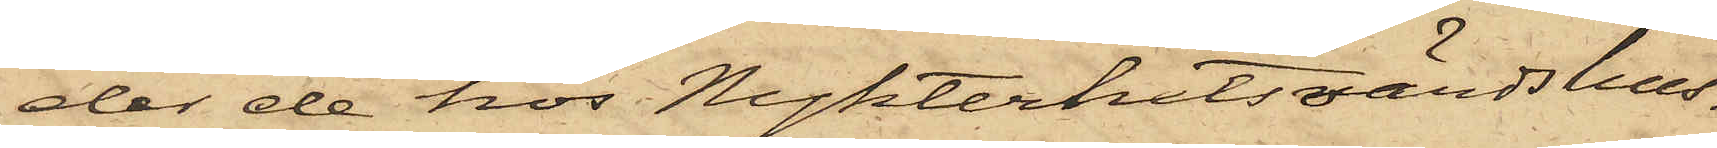der de hos Nykterhetsvärdshus¬
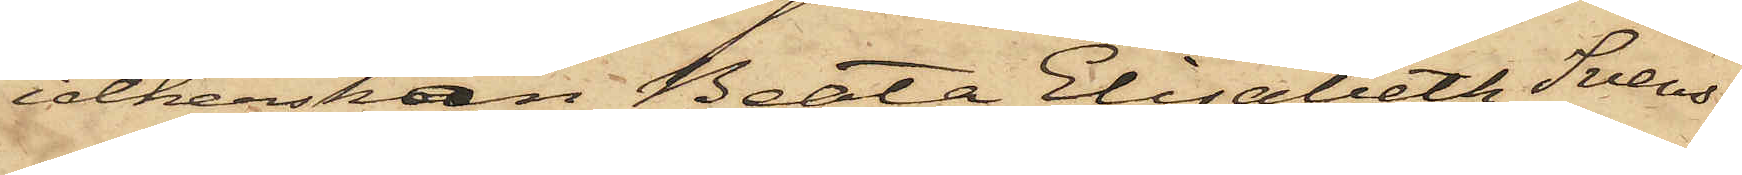idkerskan Beata Elisabeth Svens¬
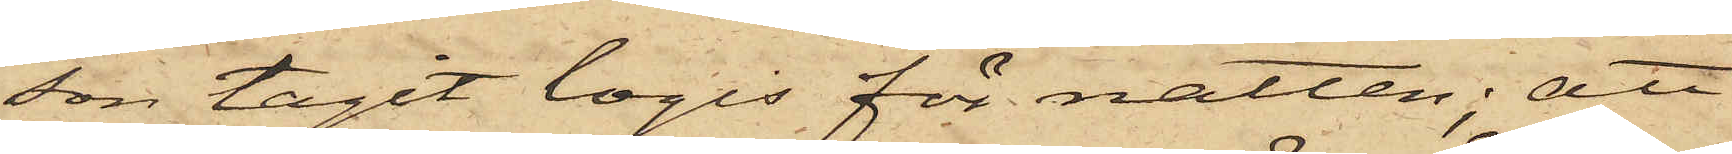son tagit logis för natten; att
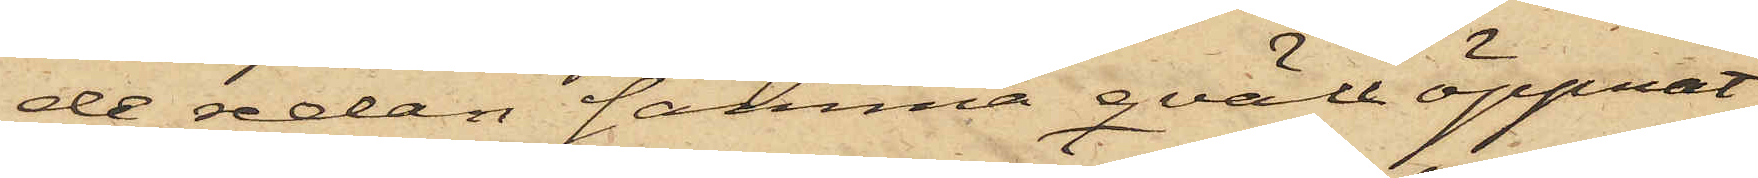de redan samma qväll öppnat
